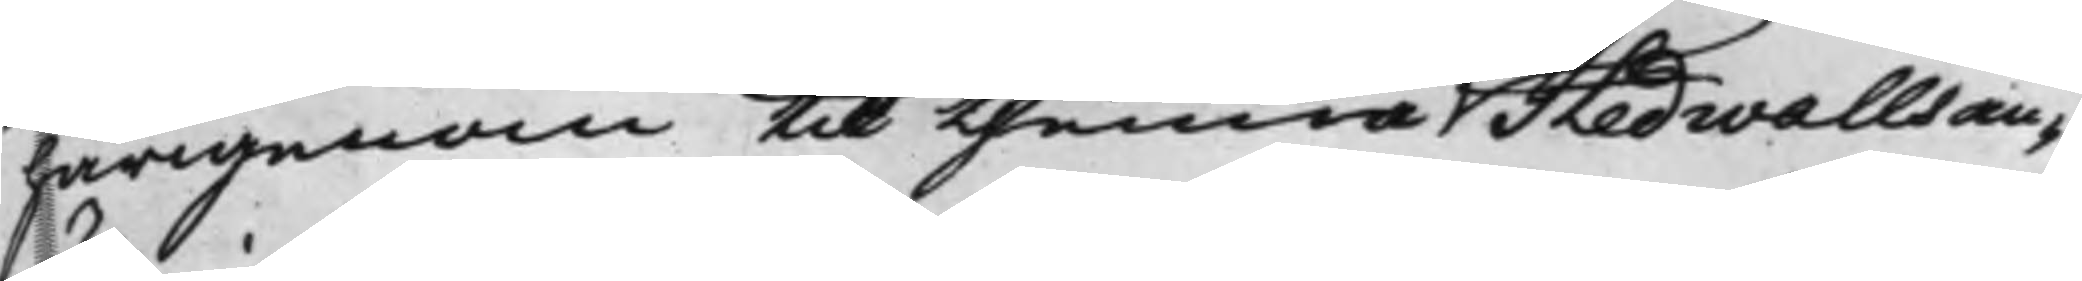härigenom til thenna Hedwalls an¬
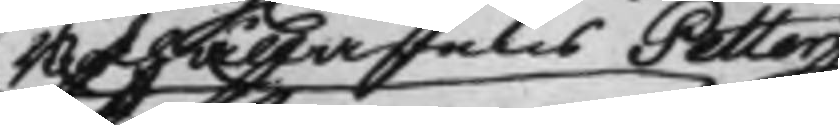Bokhållarens Petter
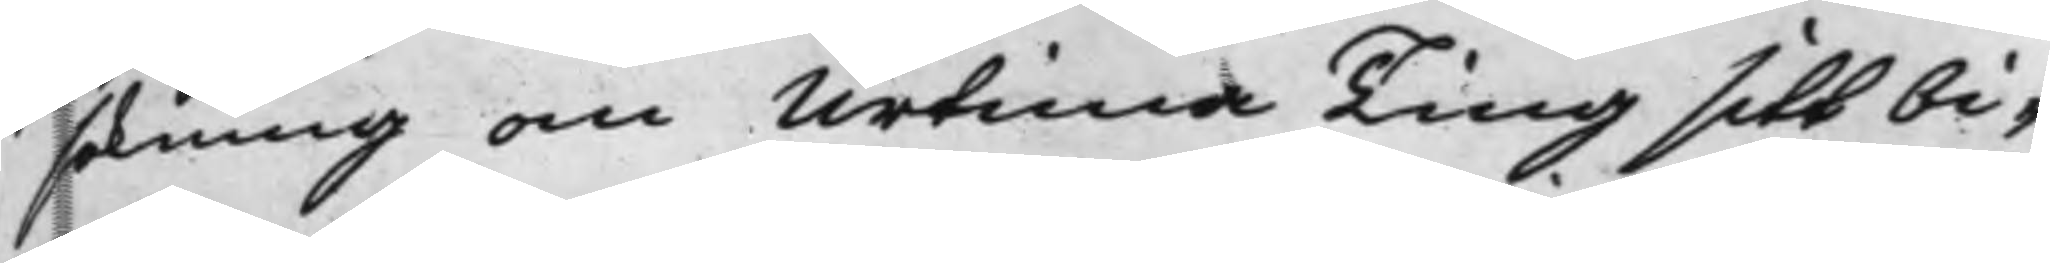sökning om Urtima Ting sitt bi¬
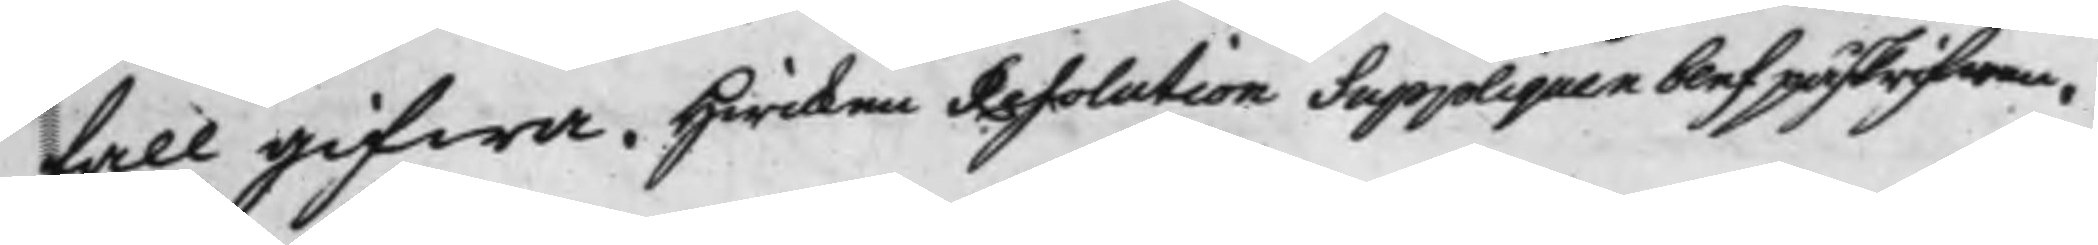fall gifwa. Hwilken Resolution Suppliquen blef påskrifwen.
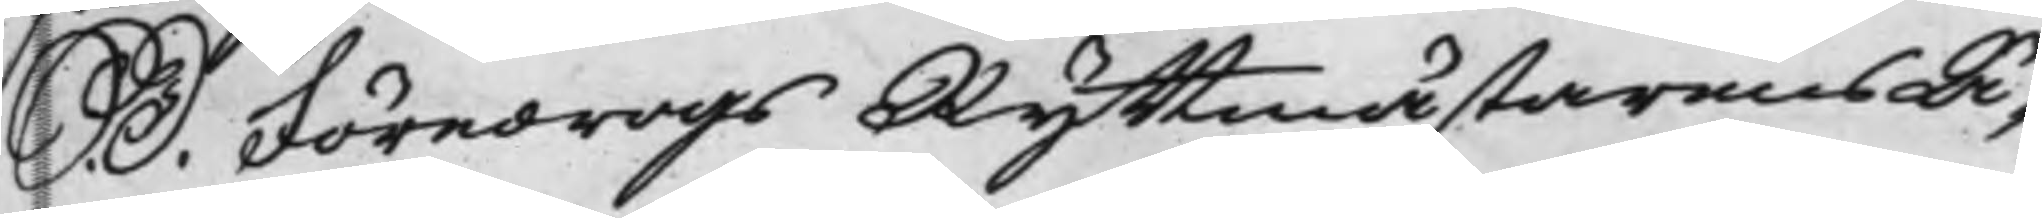S. D. Föredrogs Ryttmästarens Ä¬
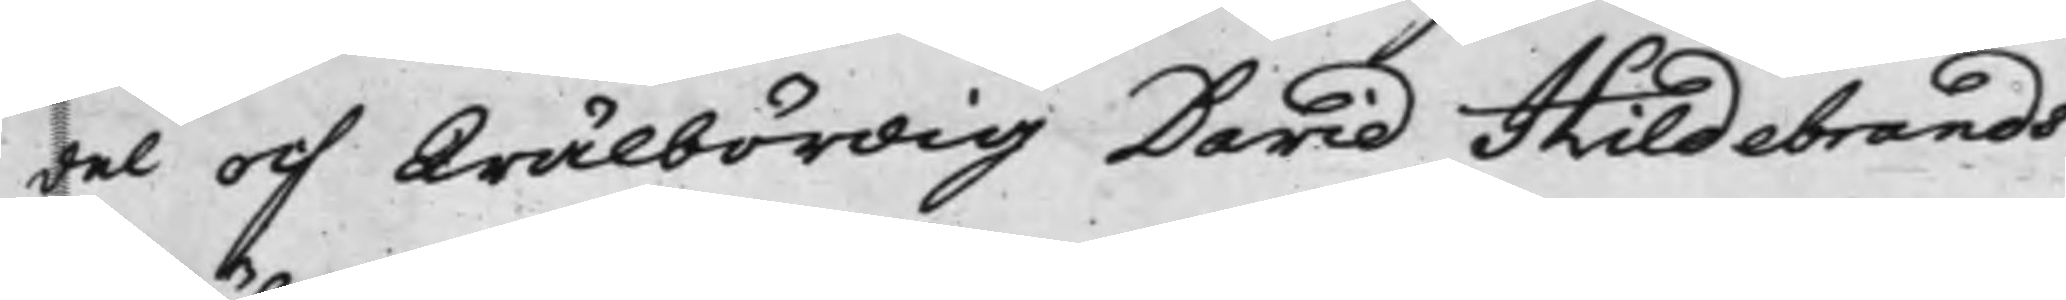del och Wälbördig David Hildebrands
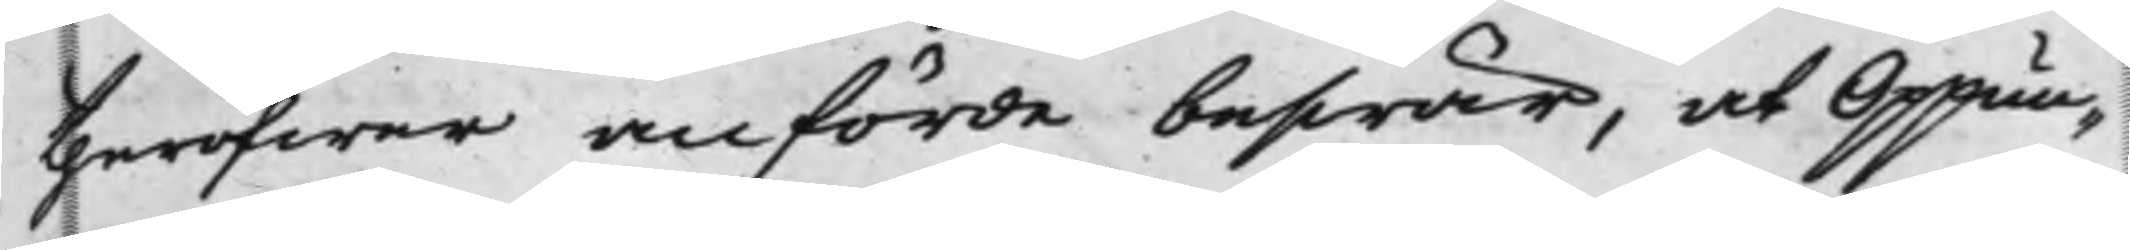theröfwer anförde beswär, at Oppun¬
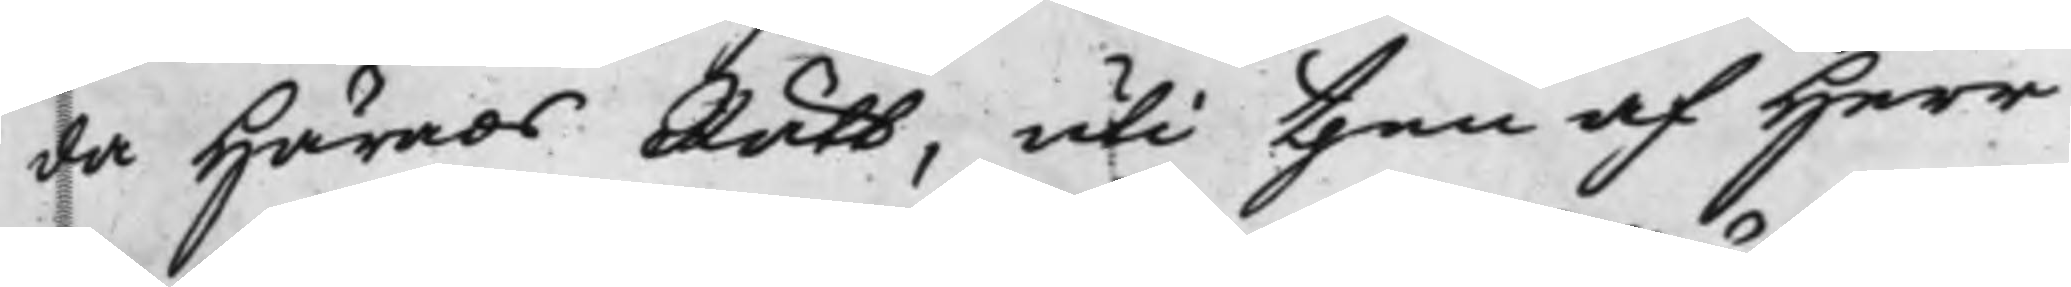da Härads Rätt, uti then af Herr
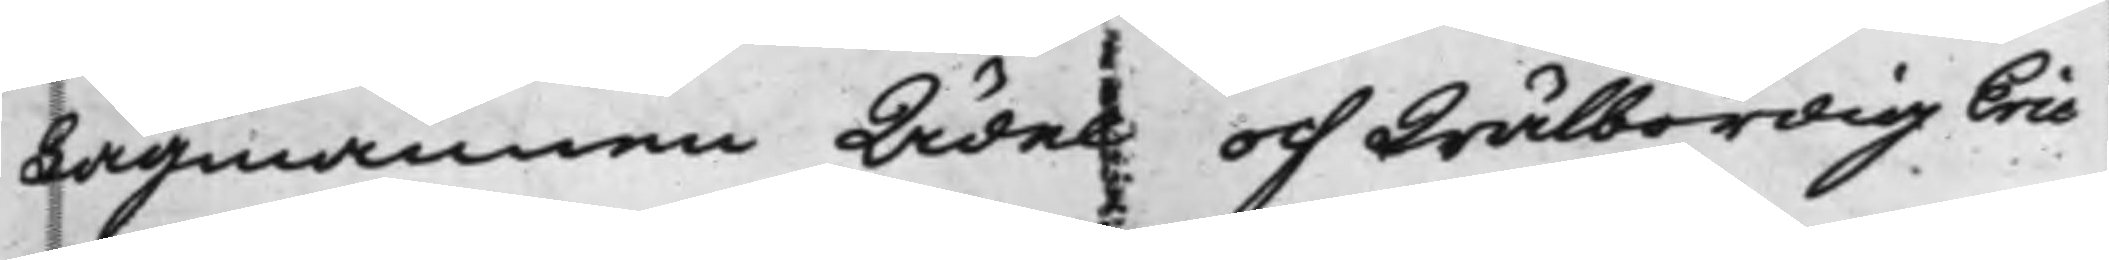Lagmannen Ädel och Wälbördig Eric
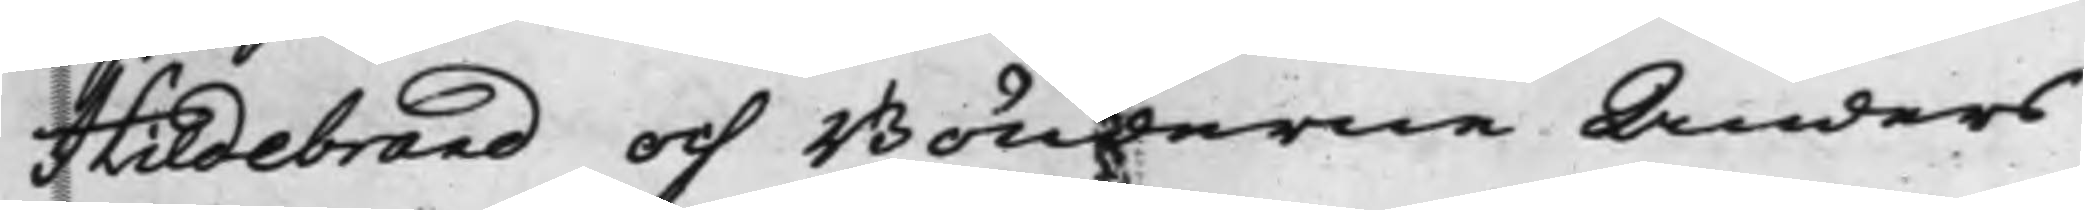Hildebrand och Bönderne Anders
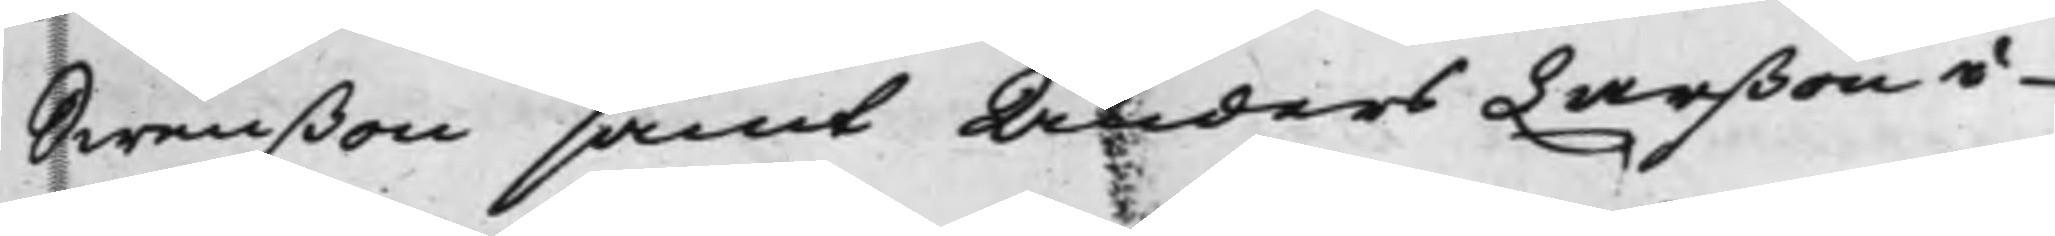Swenßon samt Anders Larßon i
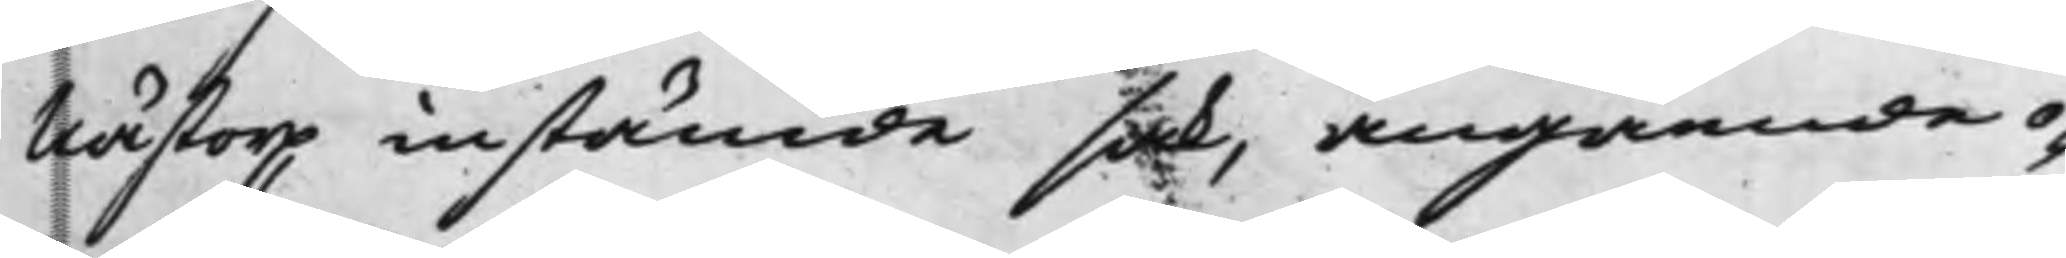Nästorp instämde sak, angående o¬
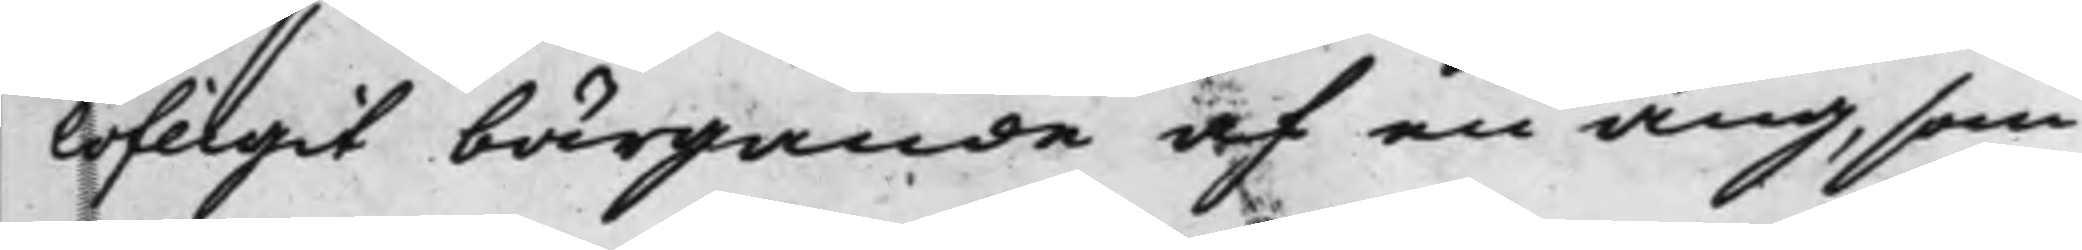lofligit bärgande af en äng, som
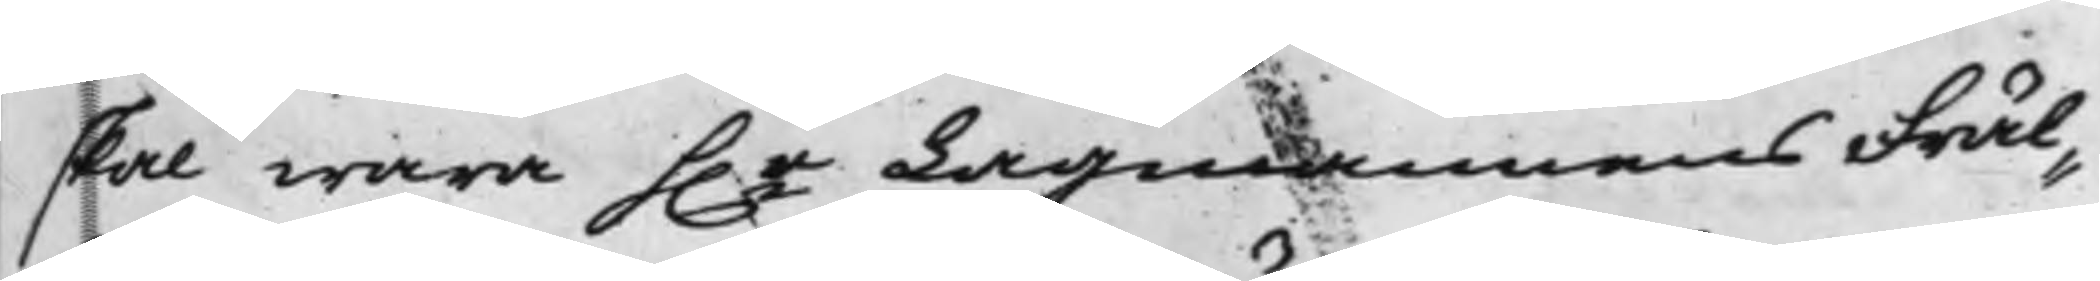skal wara h.r Lagmannens Fräl¬
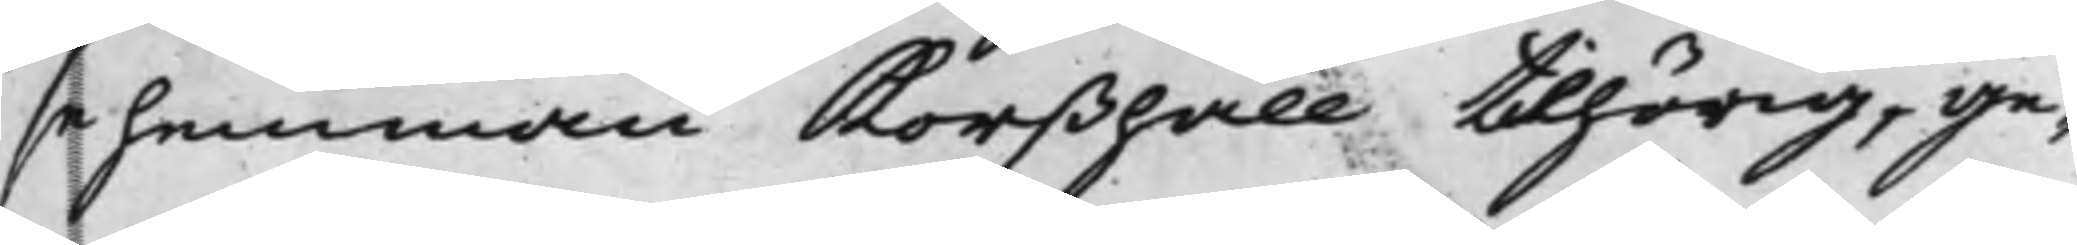sehemman Korßhäll tilhörig, ge¬
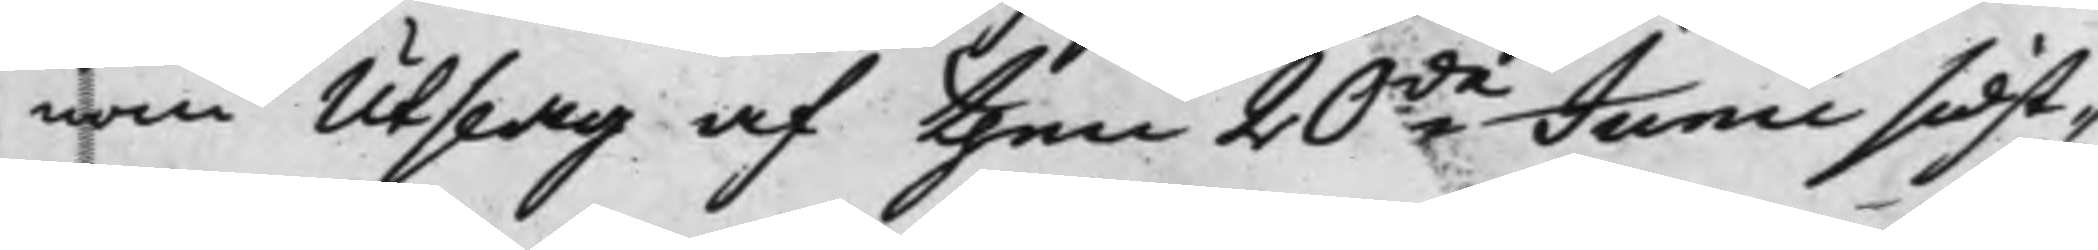nom Utslag af then 20de Junii sidst¬
